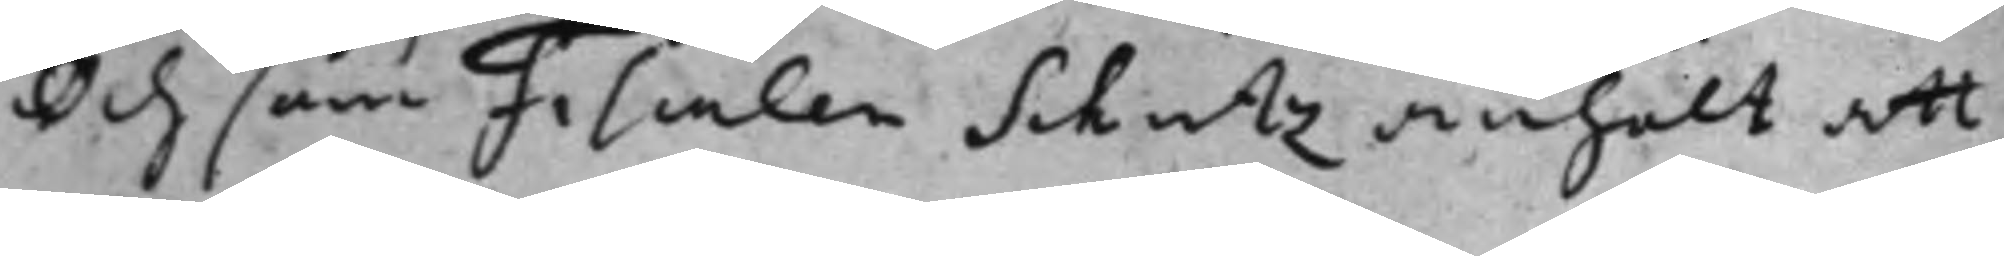Och som Fiscalen Schutz anhölt att
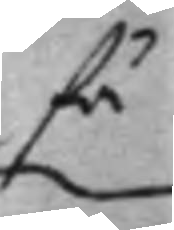få
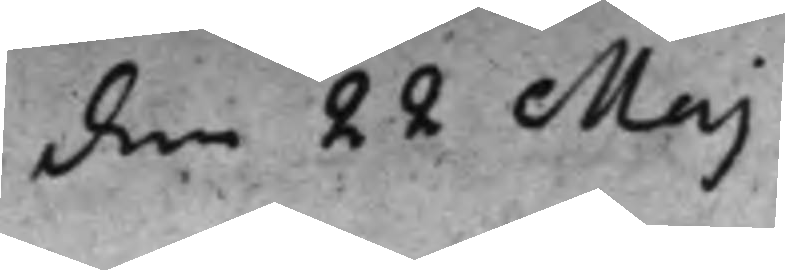den 22 Maj
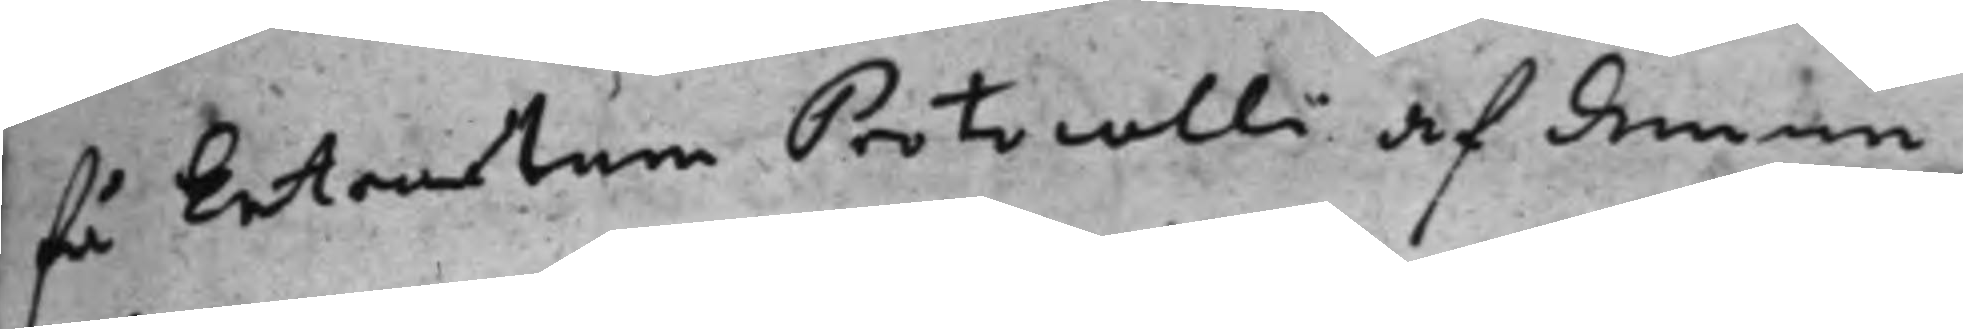få Extractum Protocolli af denne
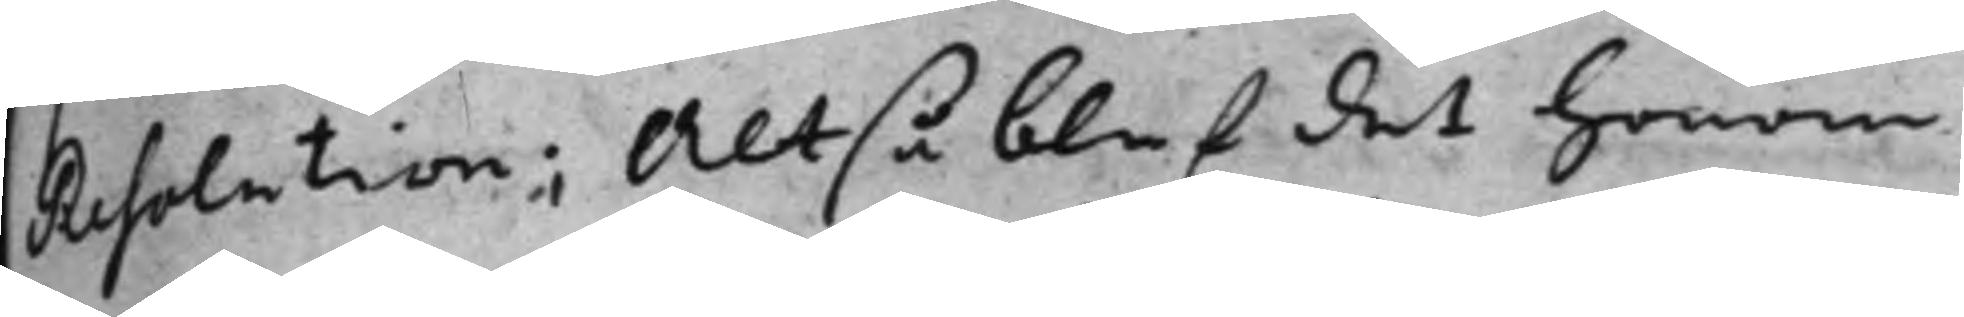Resolution; Altså blef det honom
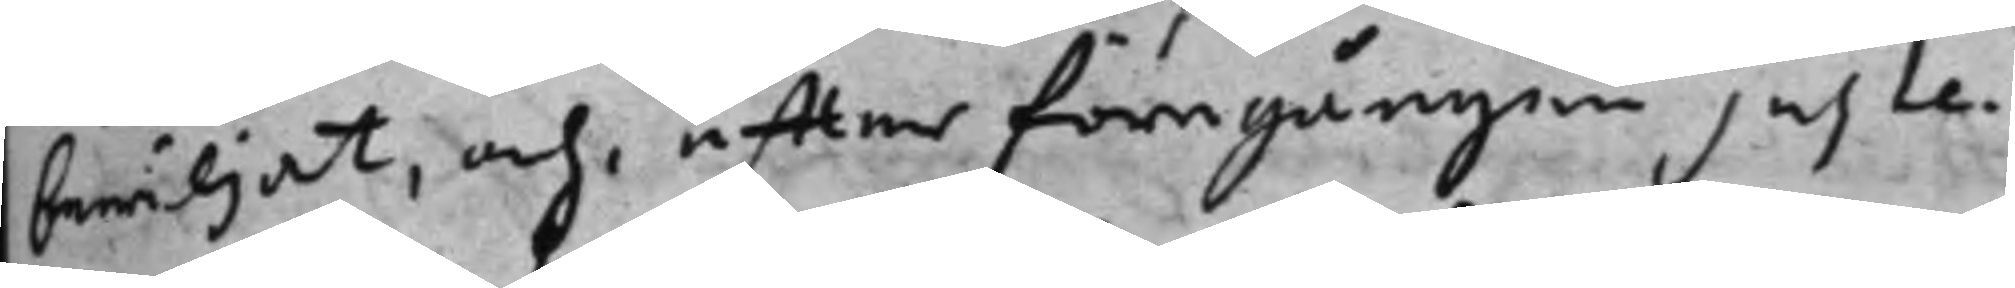bewiljat, och effter föregången juste¬
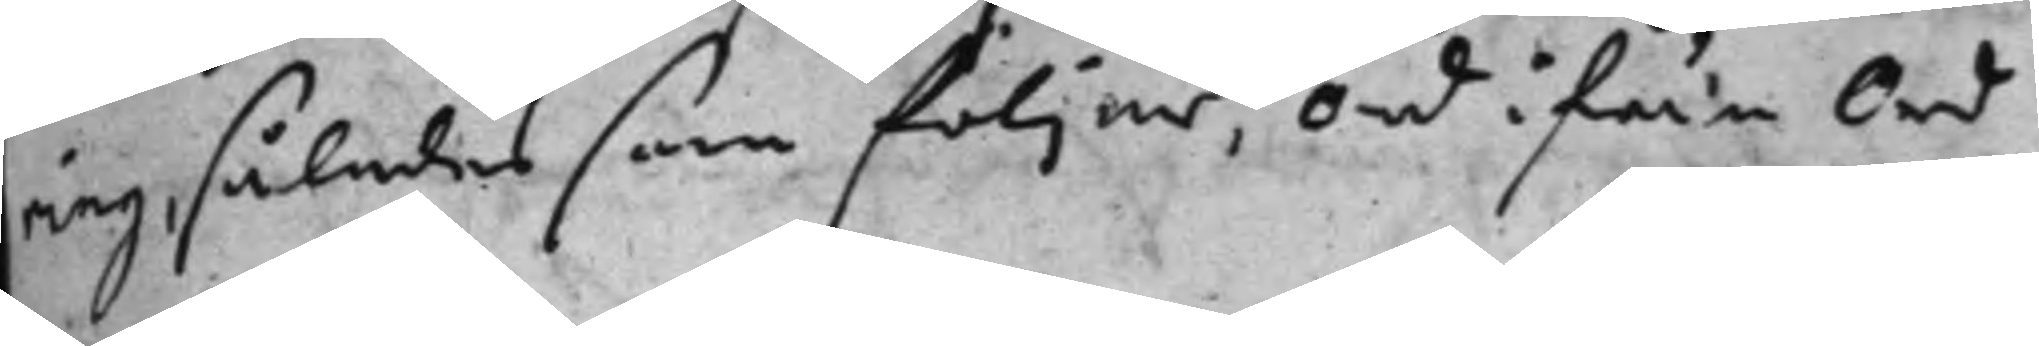ring, således som följer, Ord ifrån Ord
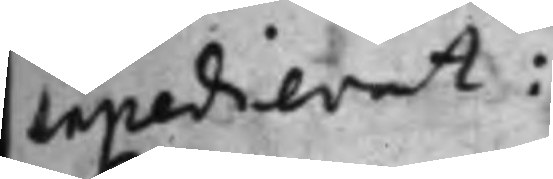expedierat:
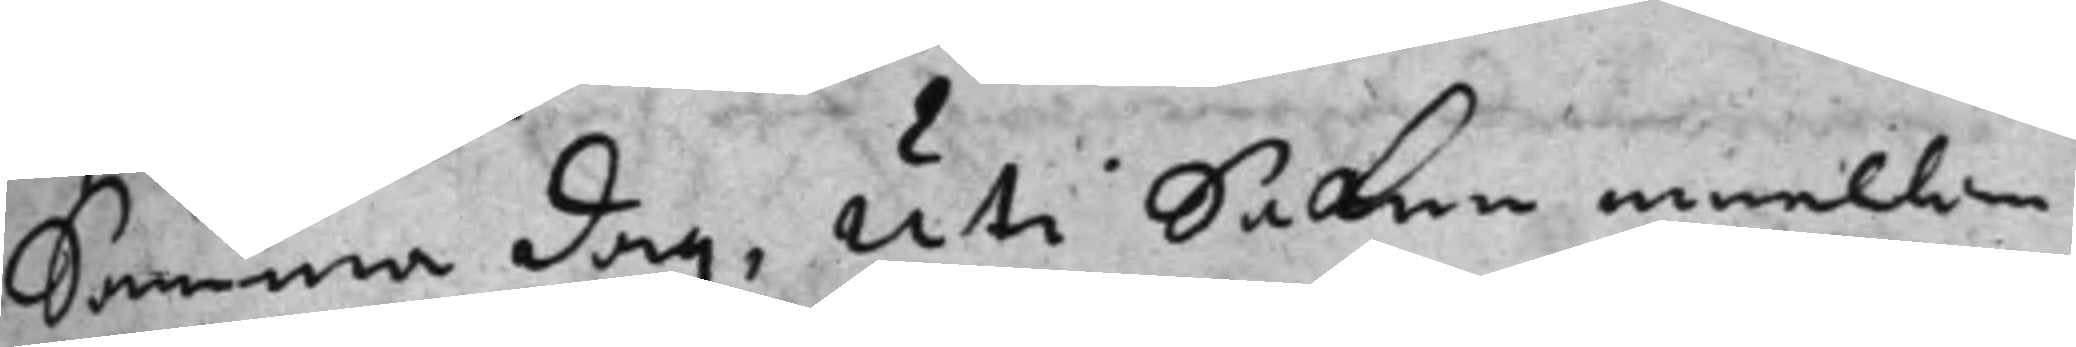Samma dag, uti Saken emellan
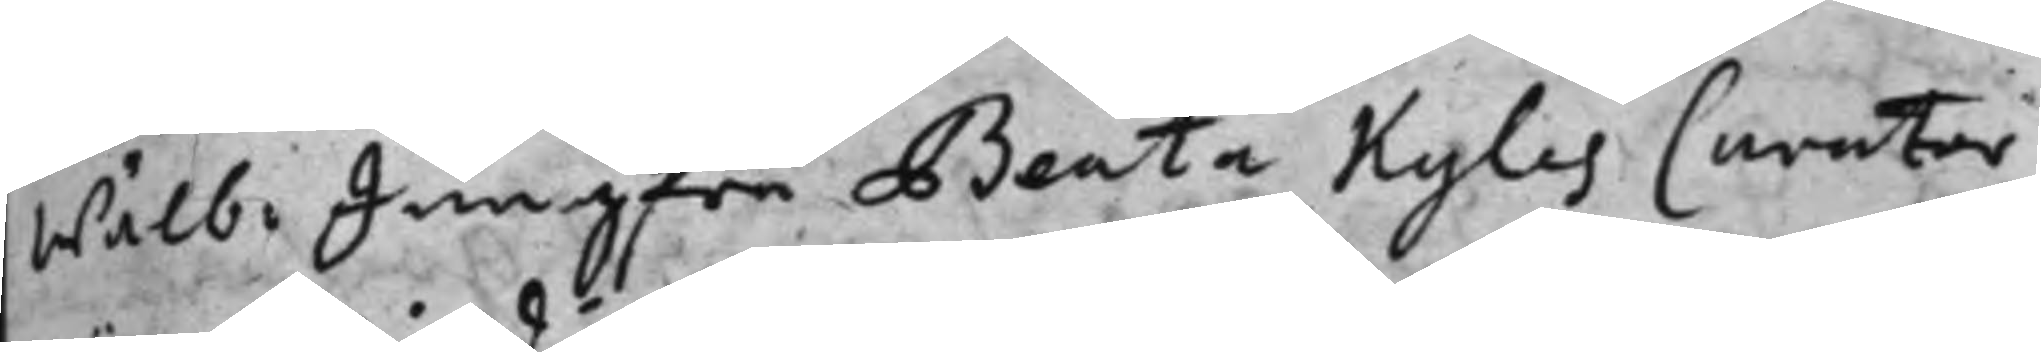Wälb: Jungfru Beata Kyles Curator
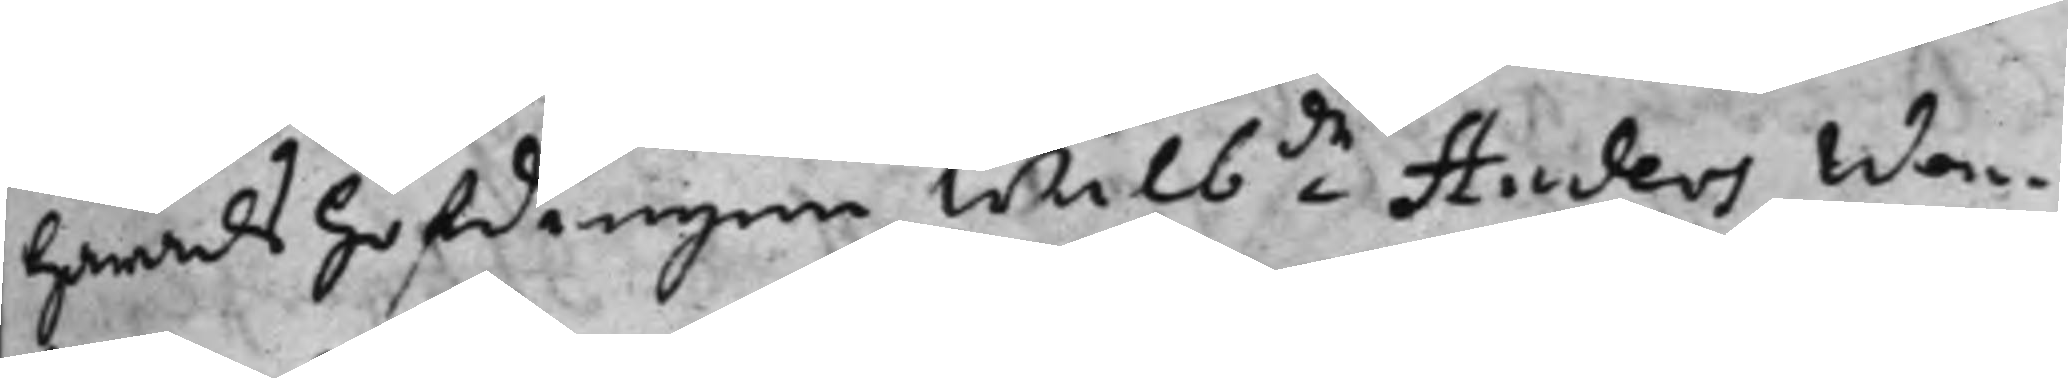häradshöfdingen Wälbde Anders Wan¬
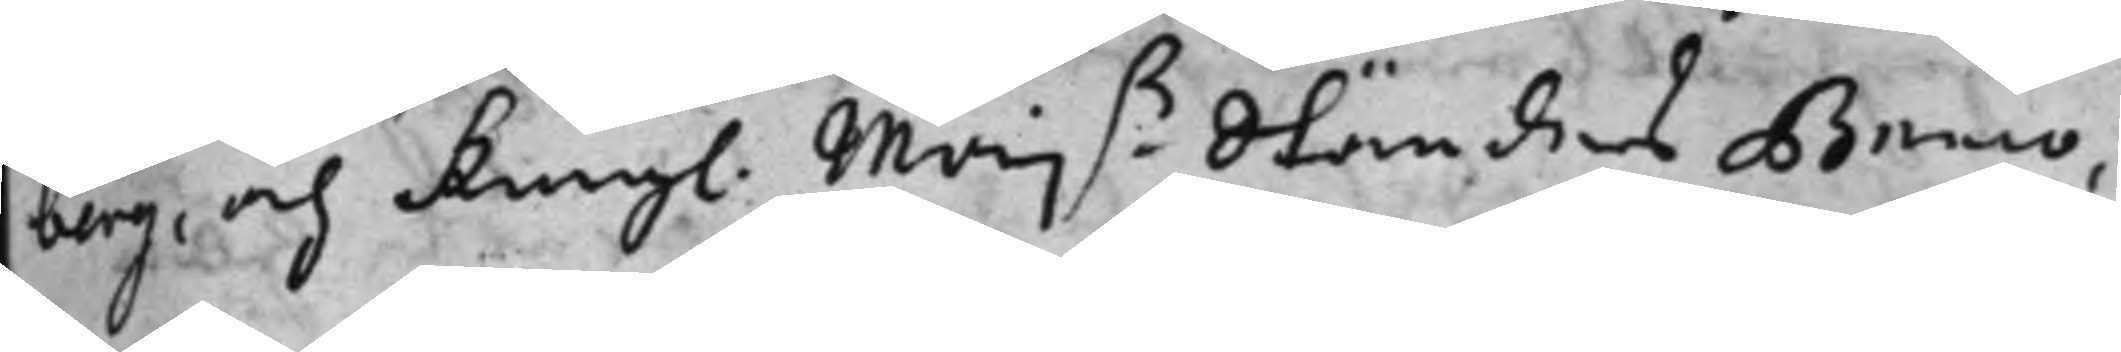berg, och Kongl. Majß Ständers Banco,
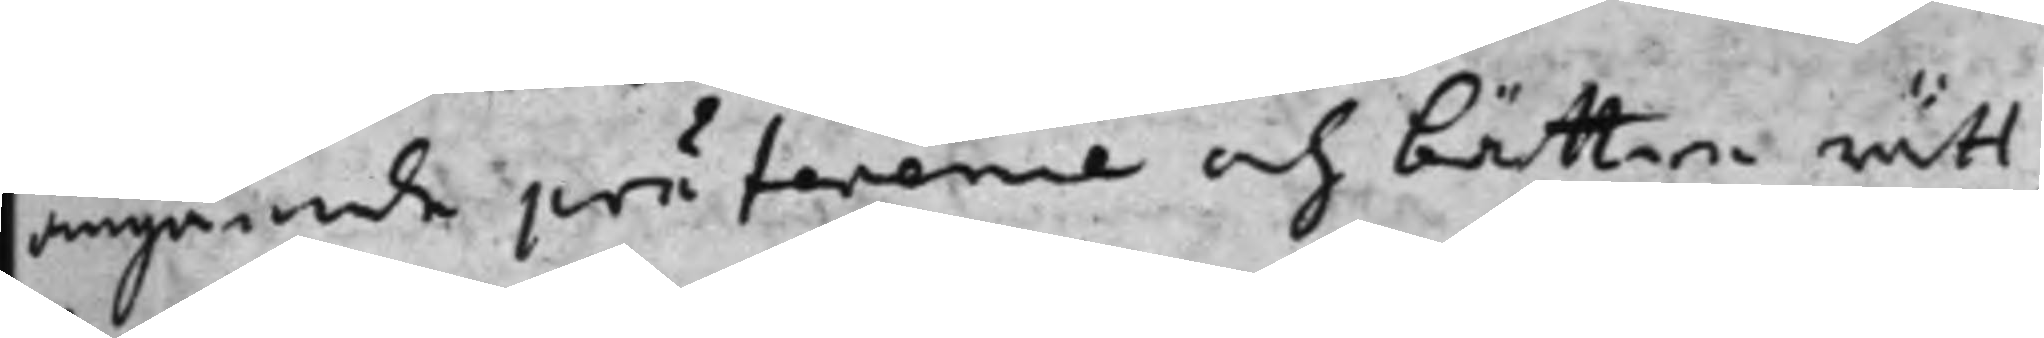angående pröfwene bättere rätt
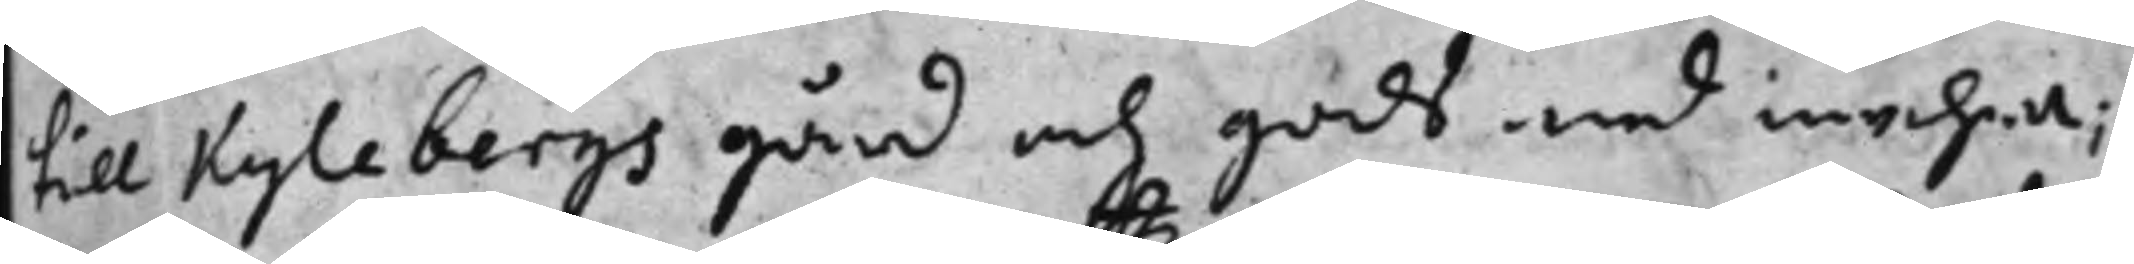till Kylebergs gård och gods med mehra;
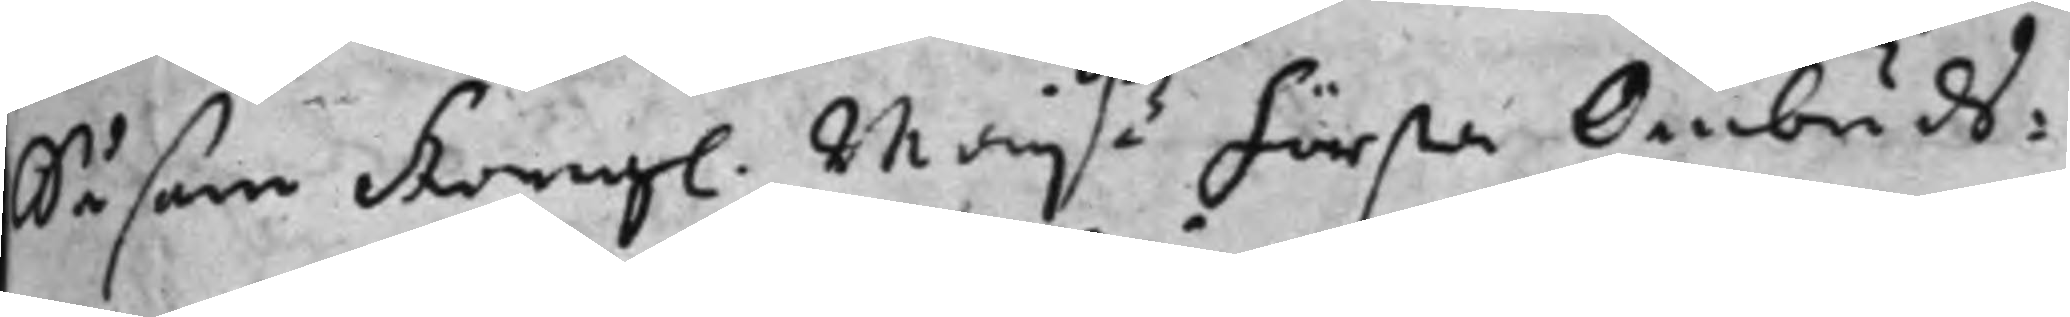Såsom Kongl. Majßz första Ombuds¬
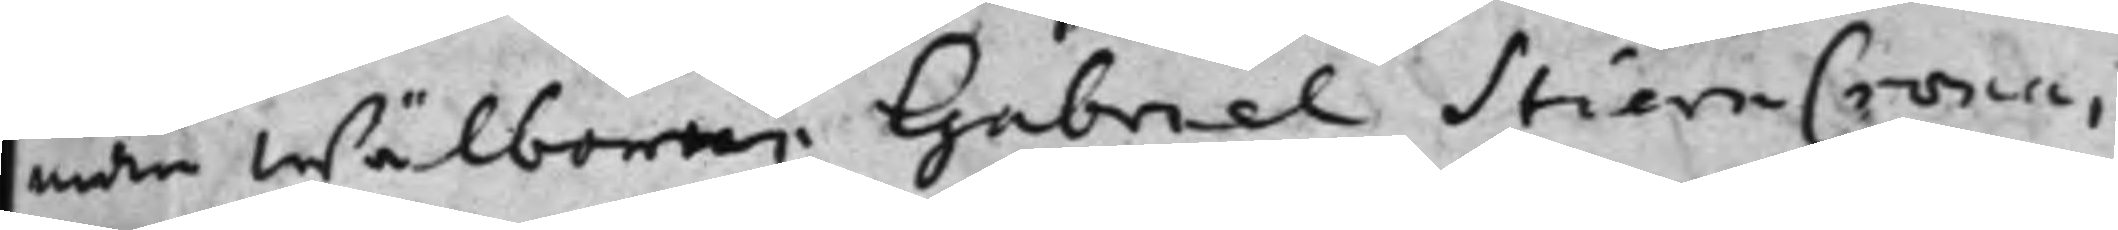man wälborne Gabriel StiernCrona,
